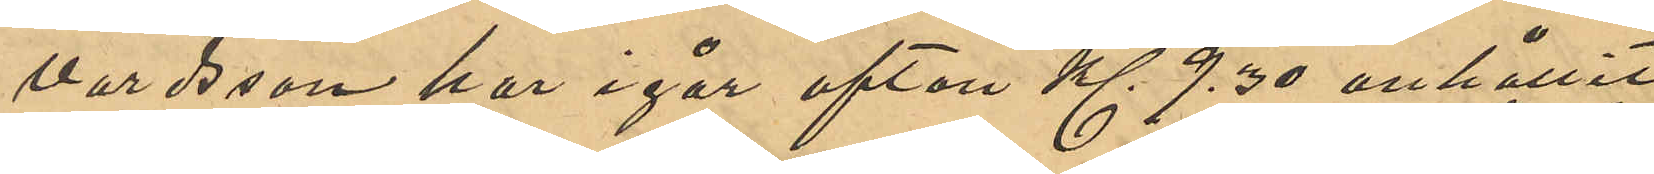vardsson har i går afton Kl 9,30 anhållit
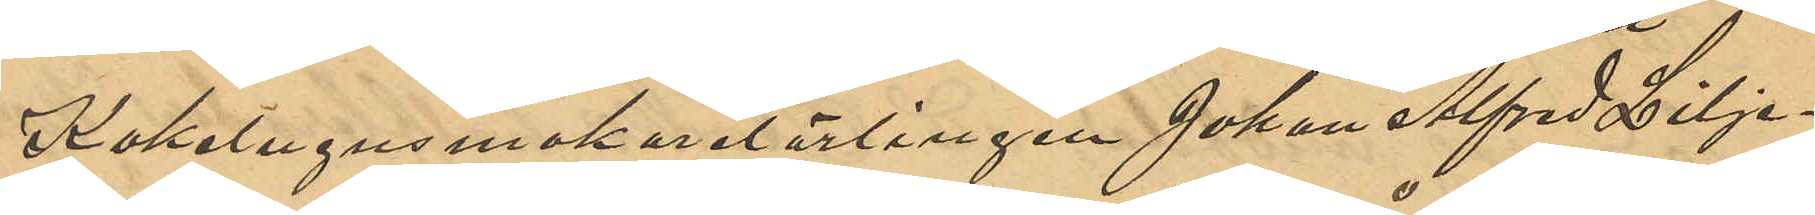Kakelugnsmakarelärlingen Johan Alfred Lilje¬
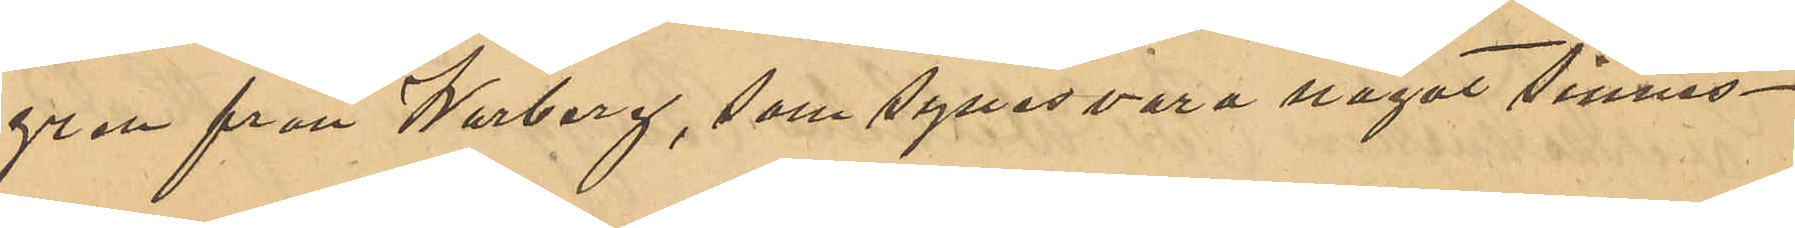gren från Warberg, som synes vara något sinnes¬
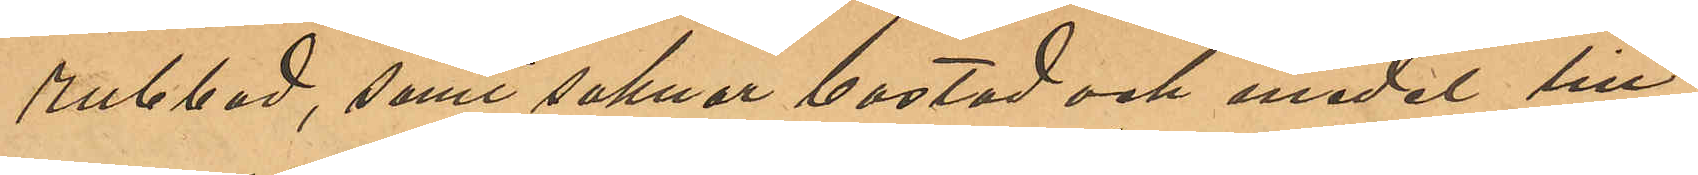rubbad, samt saknar bostad och medel till
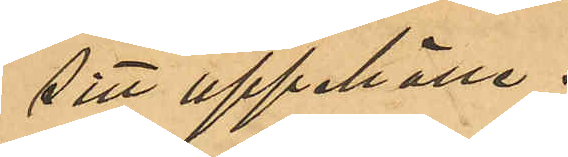sitt uppehälle.
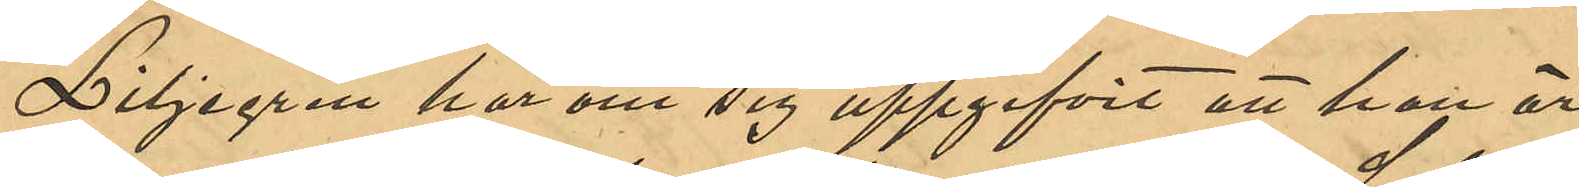Liljegren har om sig uppgifvit att han är
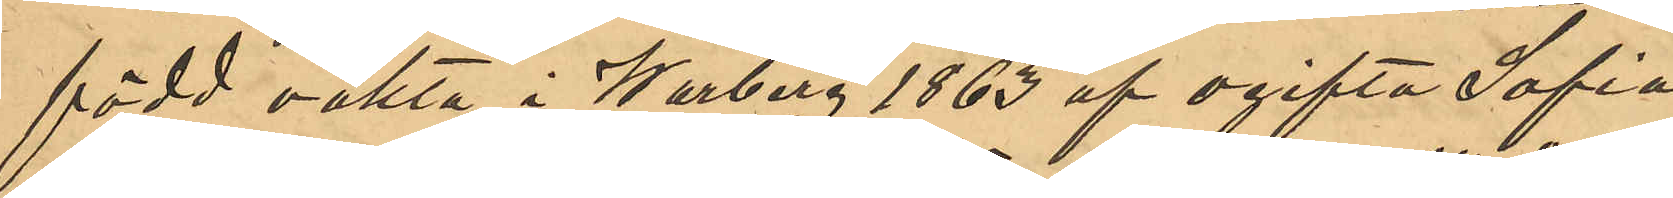född oäkta i Warberg 1863 af ogifta Sofia
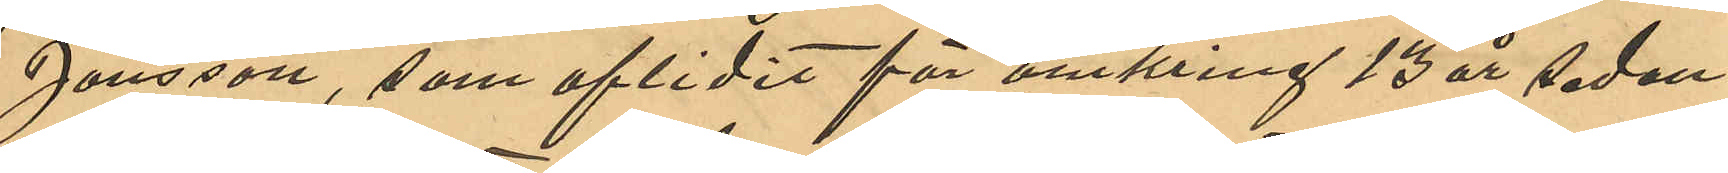Jönsson, som aflidit för omkring 13 år sedan;
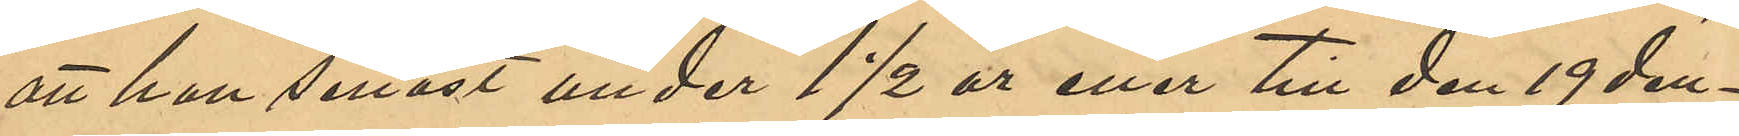att han senast under 1 ½ år eller till den 19 den¬
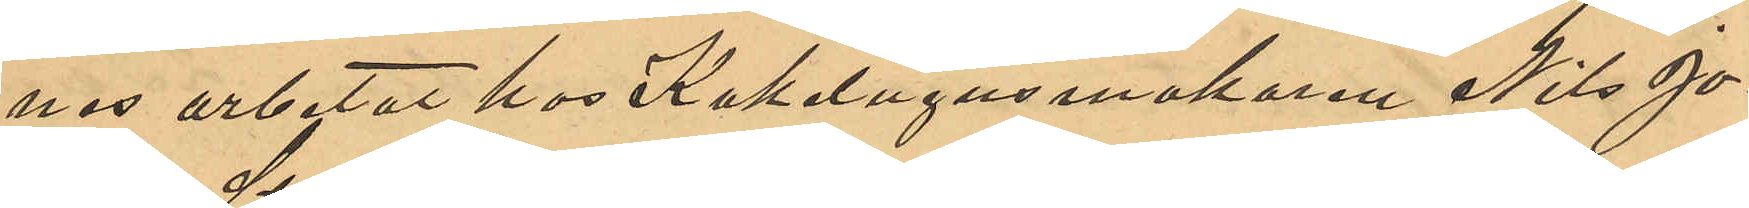ned arbetat hos Kakelugnsmakaren Nils Jo¬
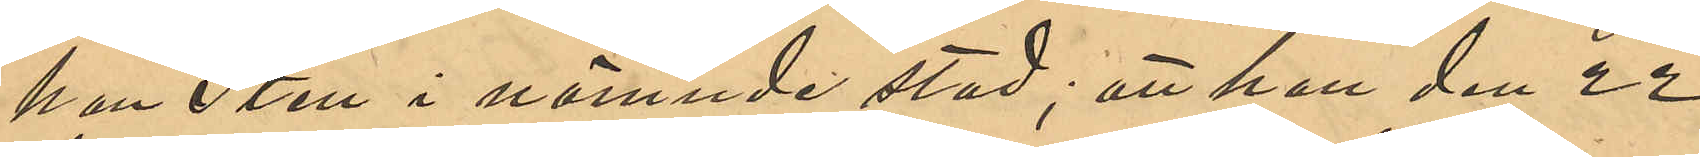han Sten i nämnde stad; att han den 22
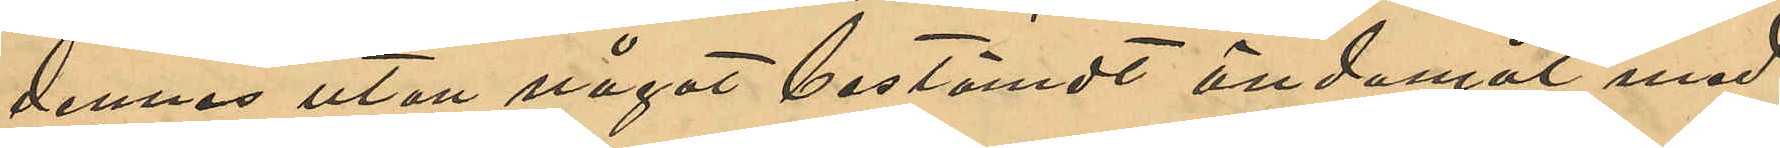dennes utan något bestämdt ändamål med
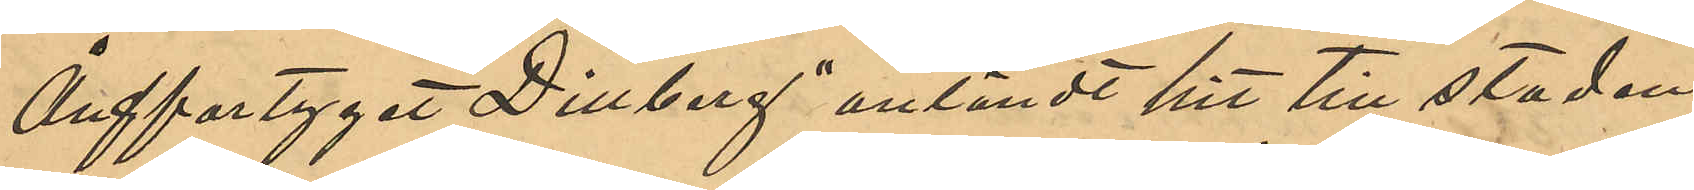Ångfartyget  "Dillberg" anländt hit till staden;
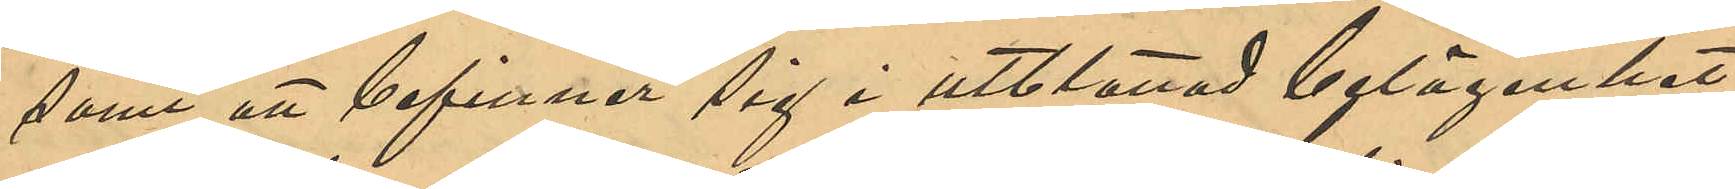samt att befinner sig i utblottad belägenhet.
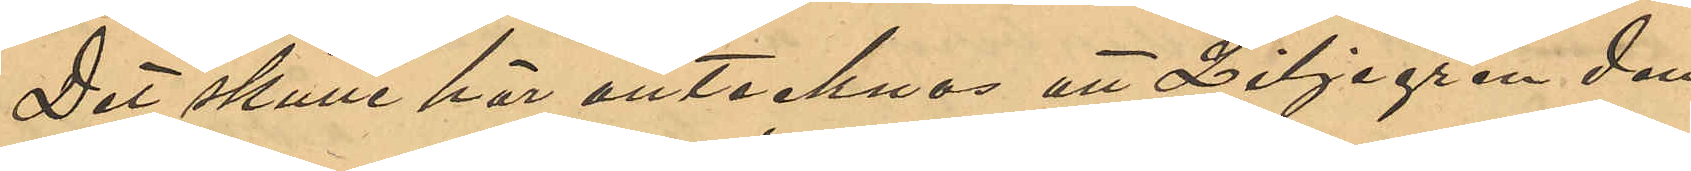Det skulle här antecknas att Liljegren den
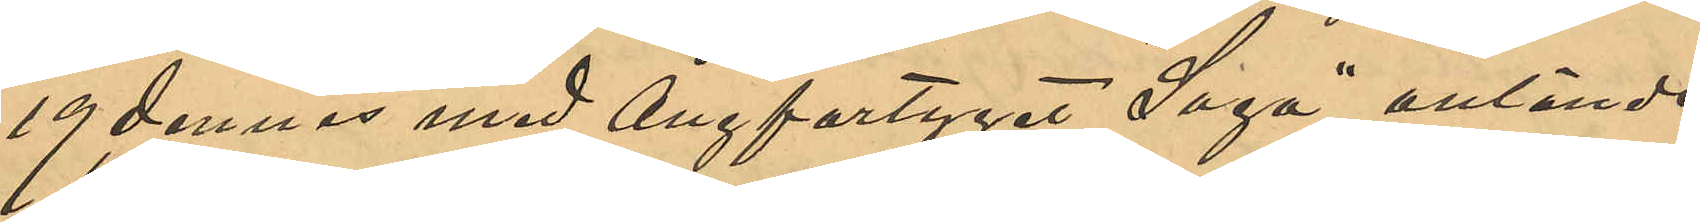19 dennes med Ångfartyget "Saga" anlände
